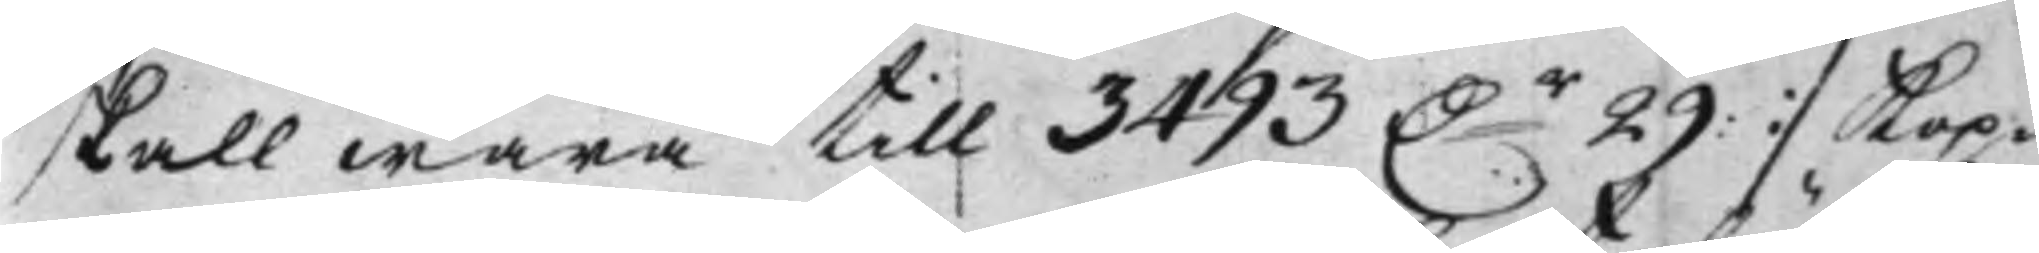skall wara till 3493 D:r 29: :/ Kop¬
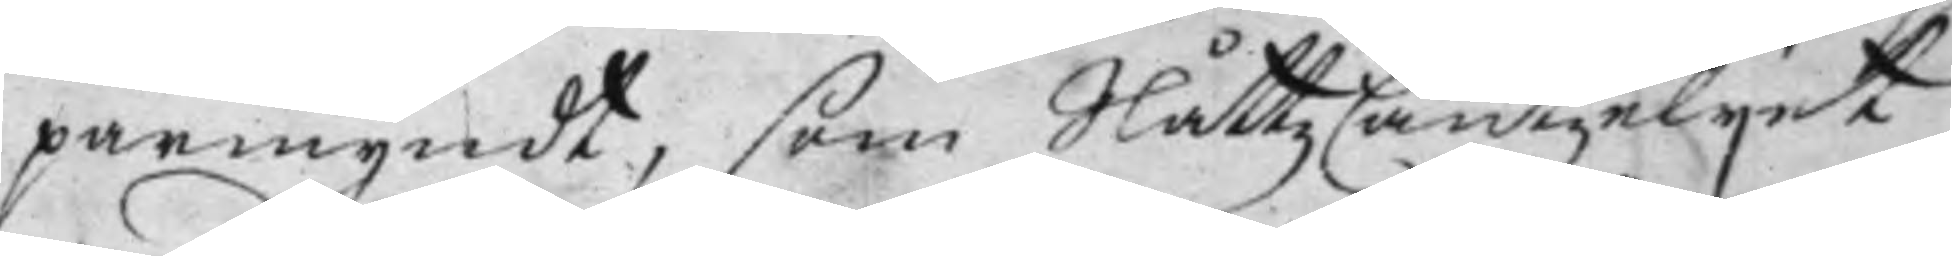parmyndt, som Slåttz Cantzelijet
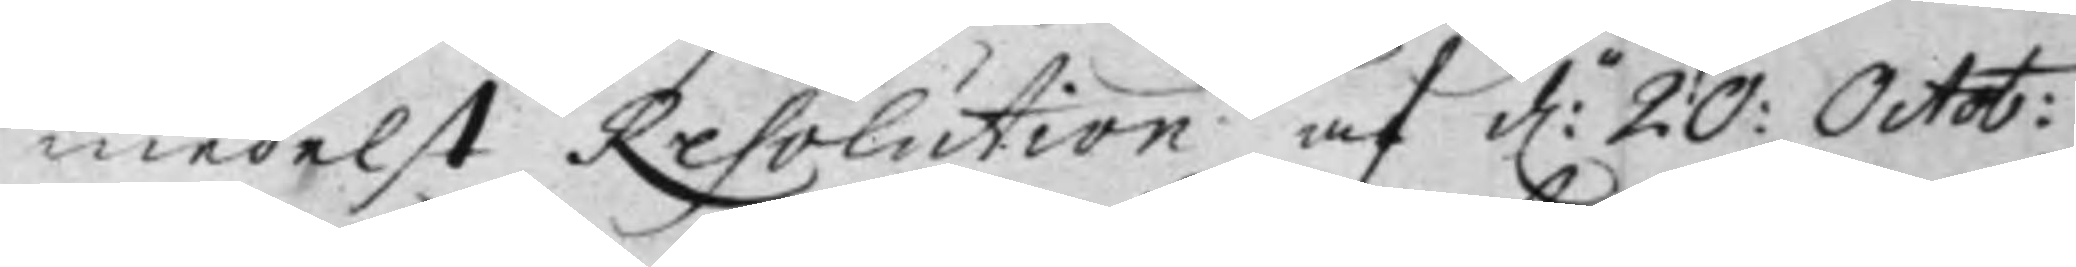medelst Resolution af d:n 20: Octob:
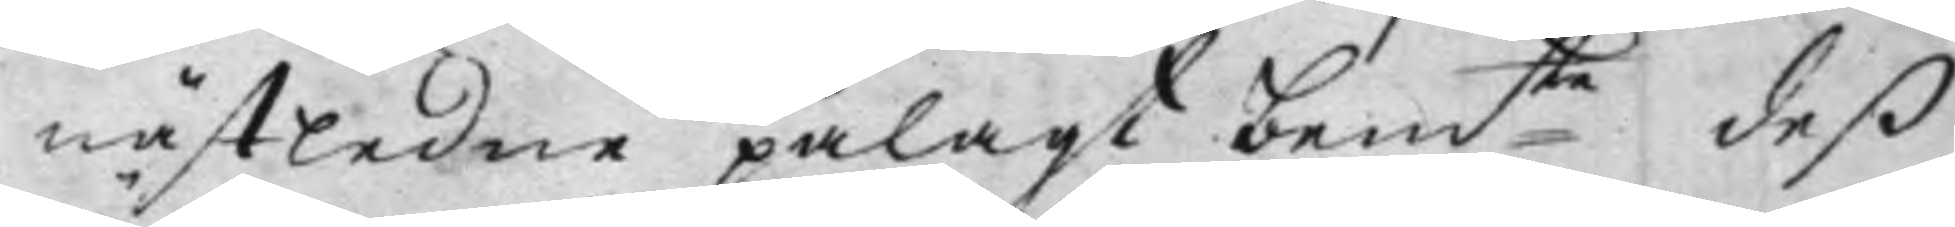nästledne pålagt bem:te  deß
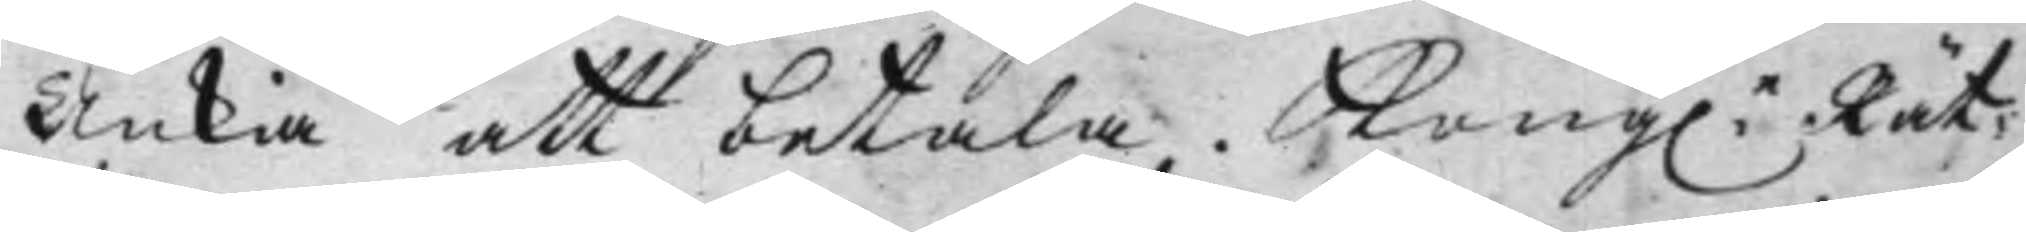Änkia att betala. Kongl:e Rät¬
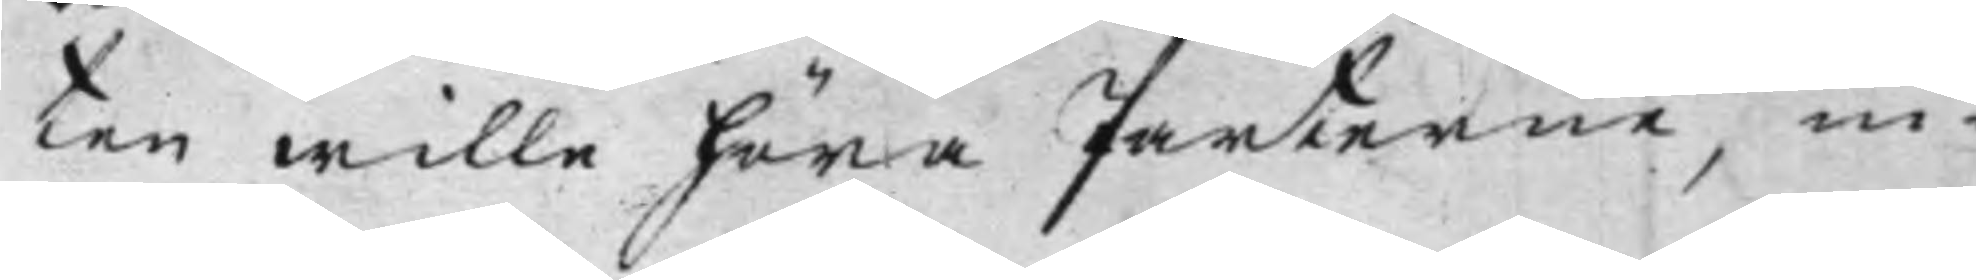ten wille höra Parterne, in¬
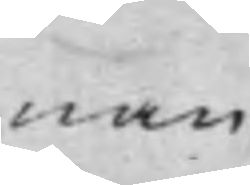nan
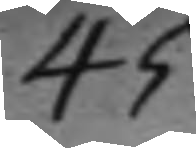45.
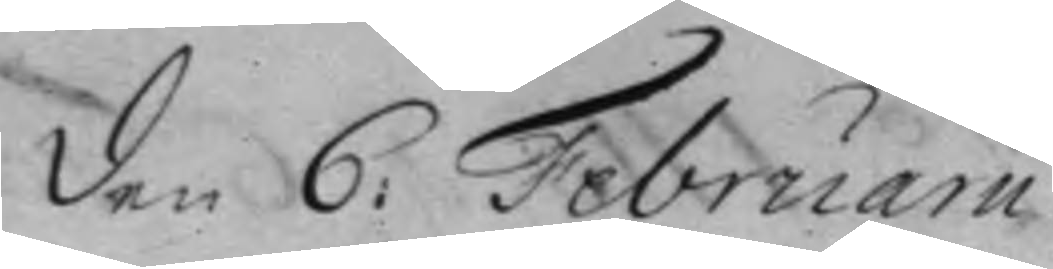den 6: Februarii.
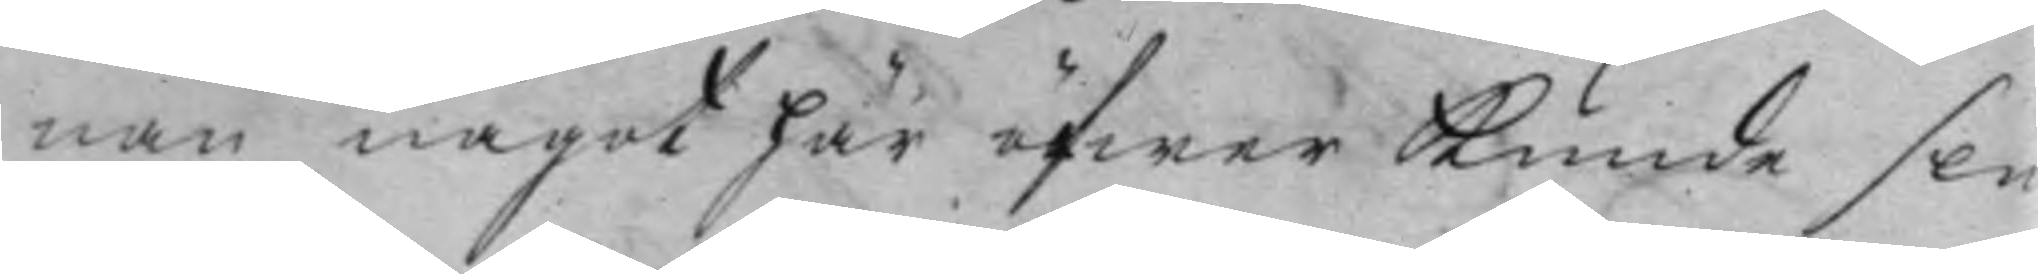nan något här öfwer kunde slu¬
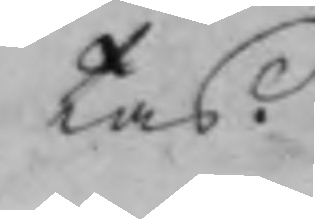tas.
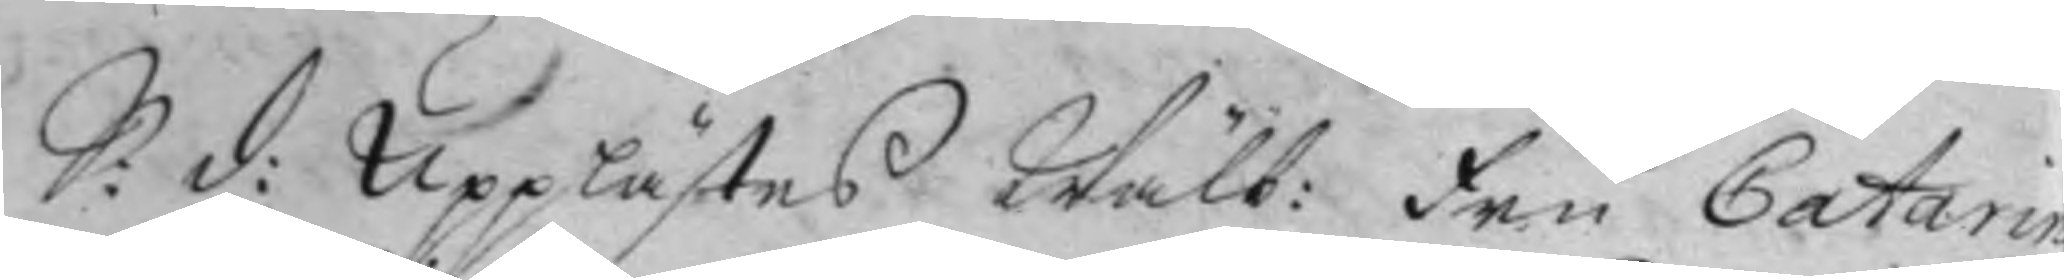S: d: Upplästes Wälb: Fru Catarin
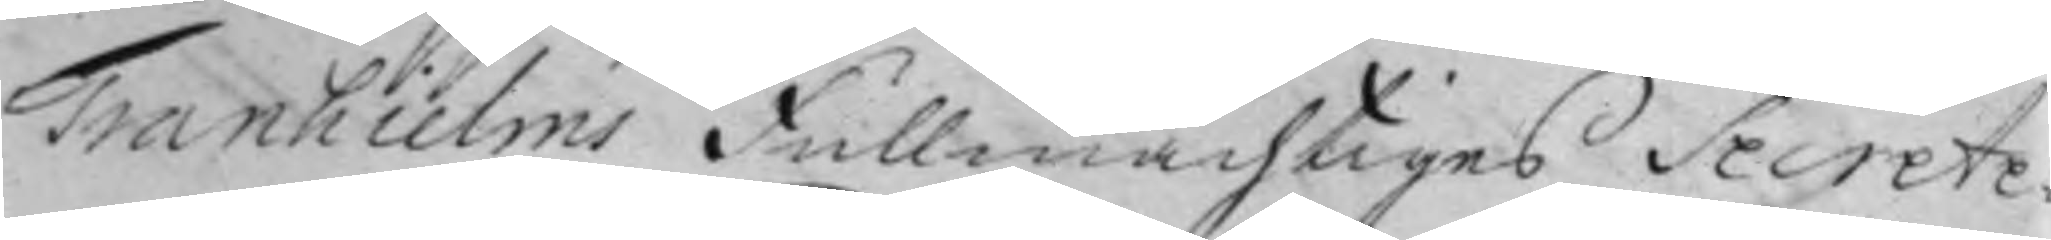Tranhielms Fullmächtiges Secrete¬
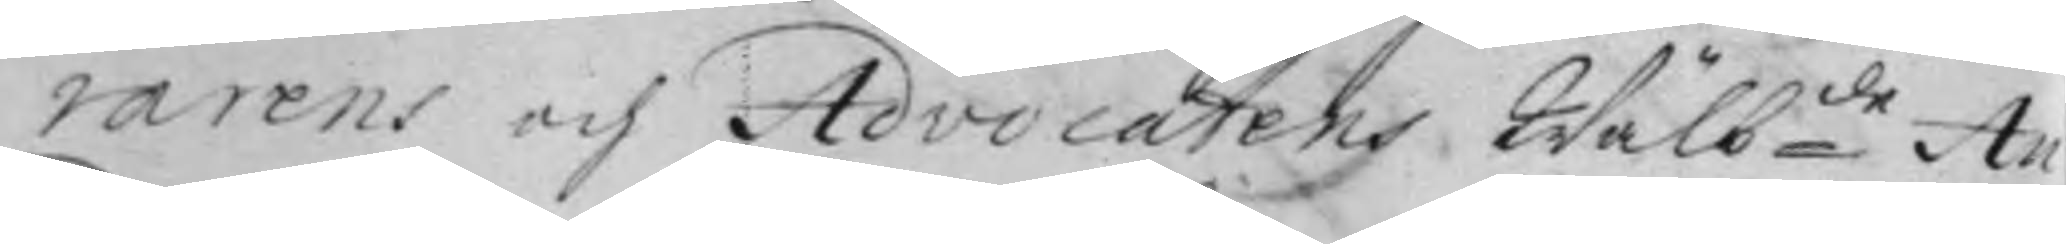rarens och Advocatens Wälb:de An¬
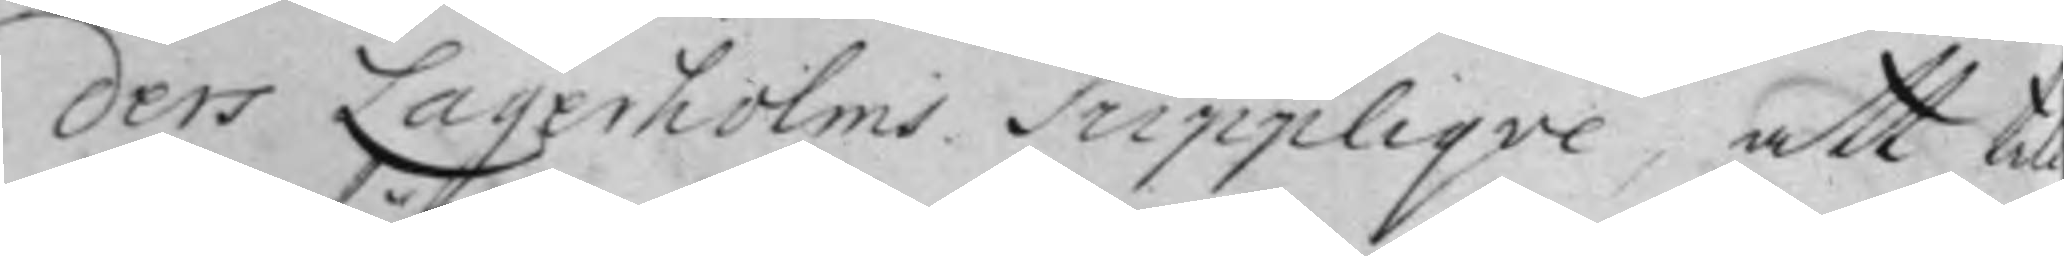ders Lagerholms Suppliqve, att till
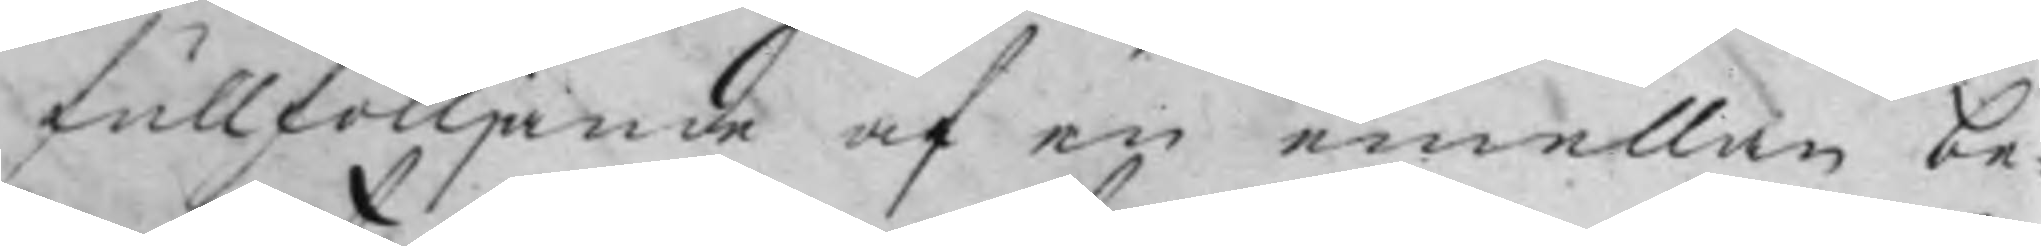fullföljande af en emellan be¬
